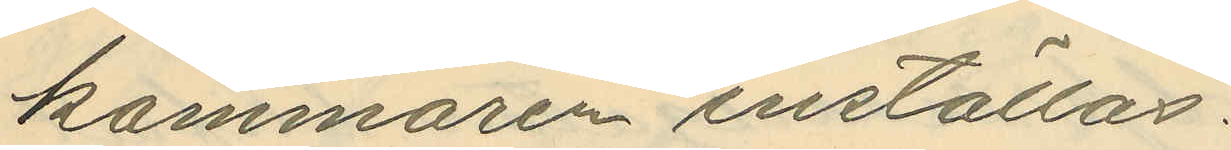kammaren inställas.
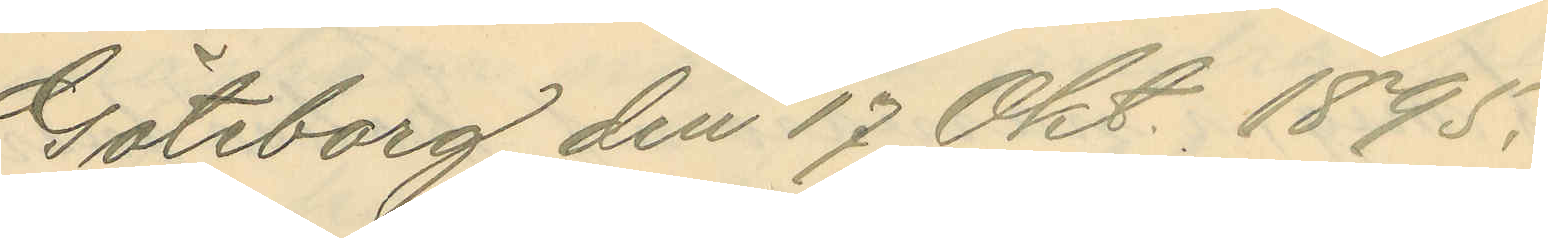Göteborg den 17 Okt. 1895.
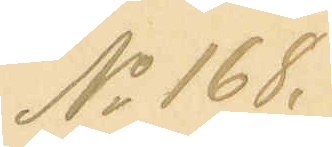No 168.
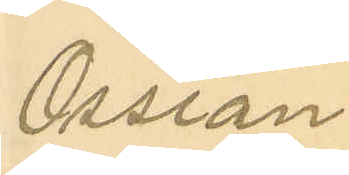Ossian
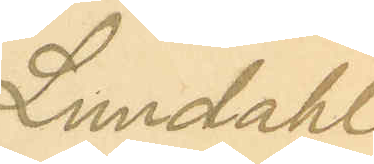Lundahl
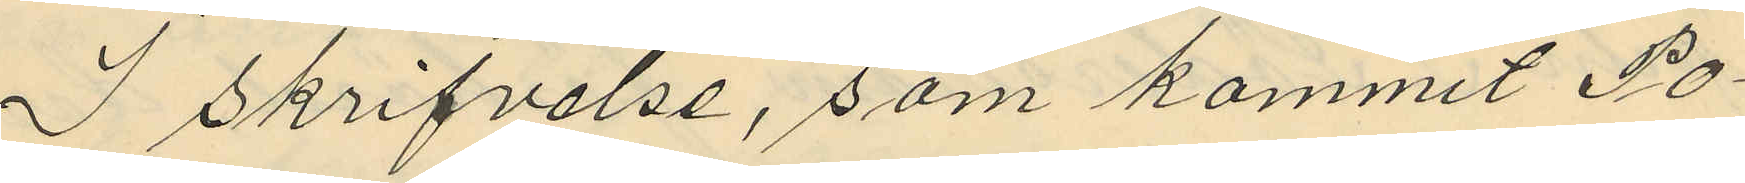I skrifvelse, som kommit Po¬
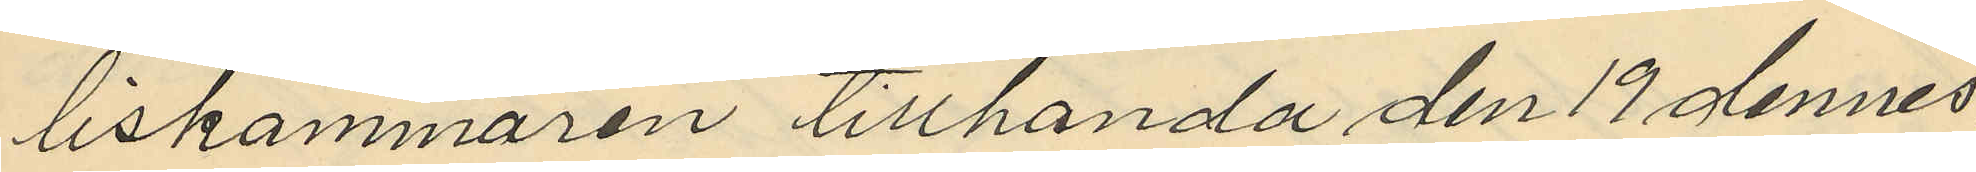liskammaren tillhanda den 19 dennes
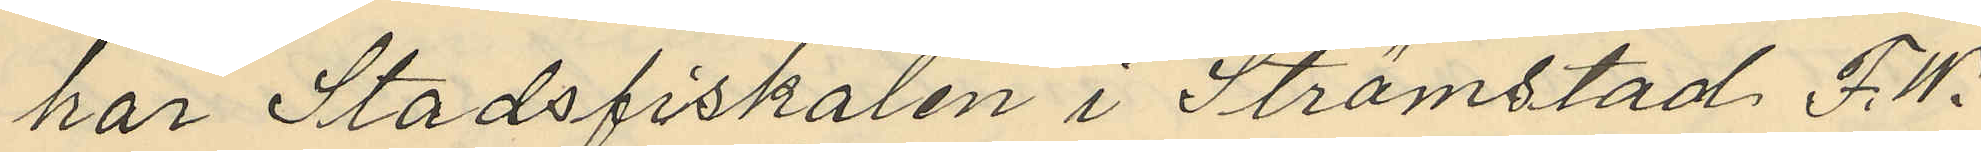har Stadsfiskalen i Strömstad F. W.
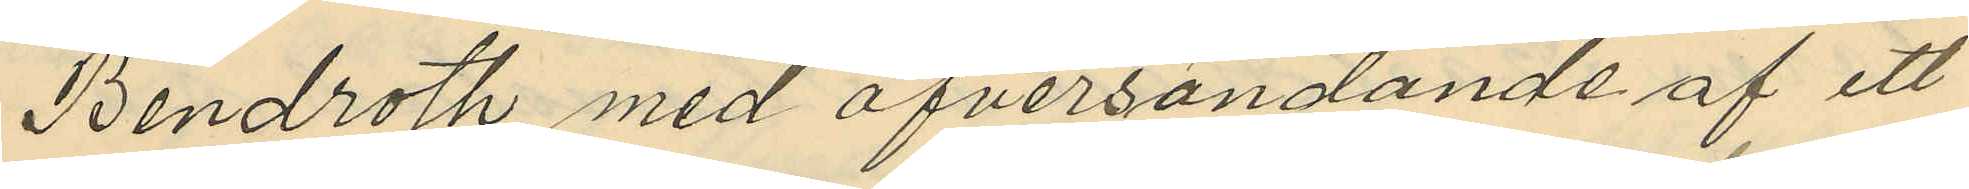Bendroth med öfversändande af ett
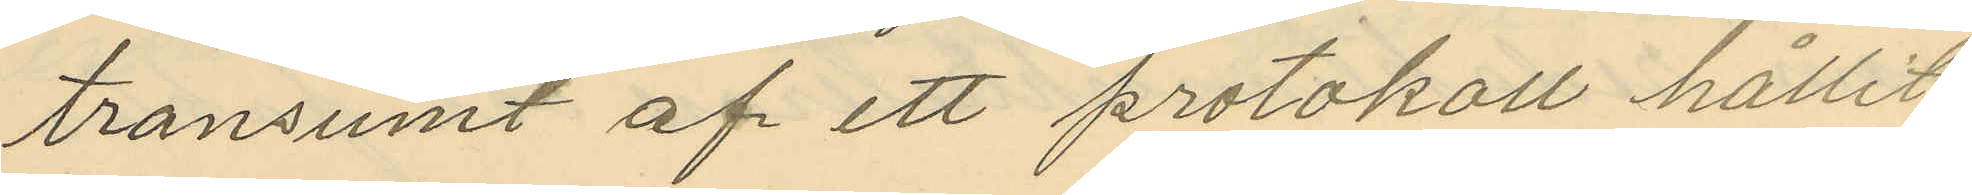transumt af ett protokoll hållit
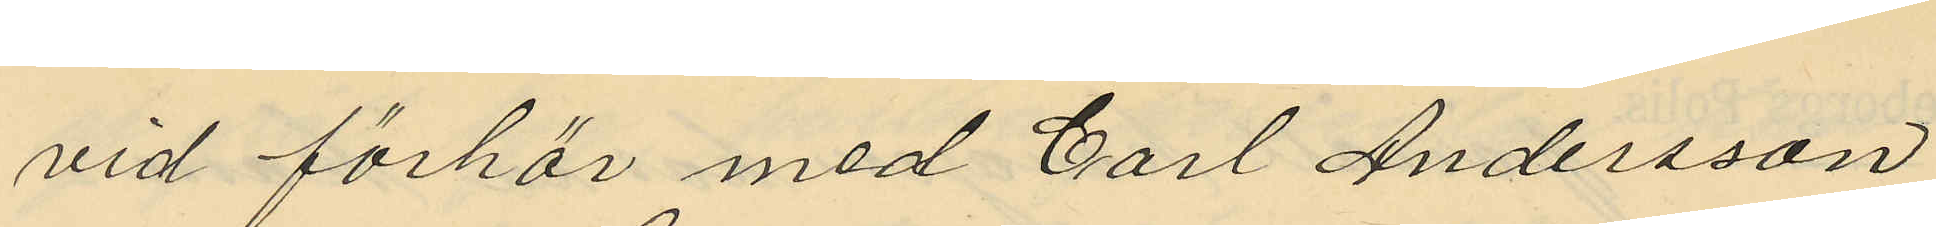vid förhör med Carl Andersson
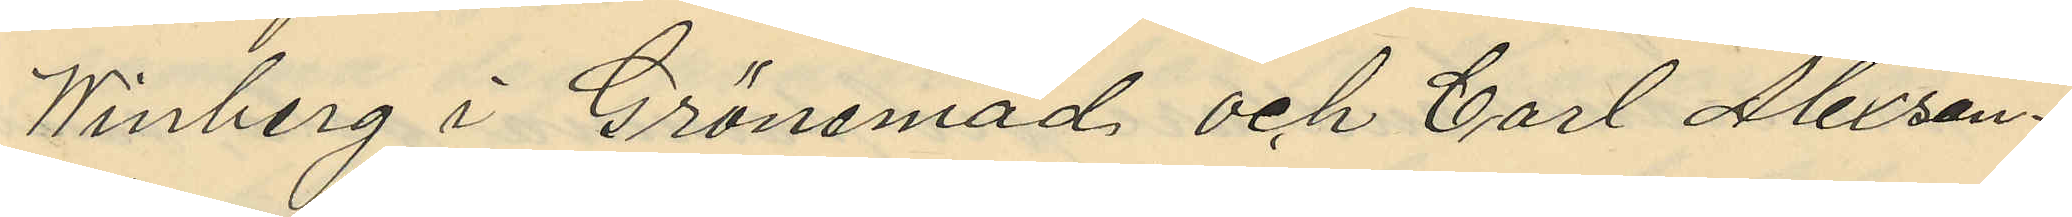Winberg i Grönemad och Carl Alexan¬
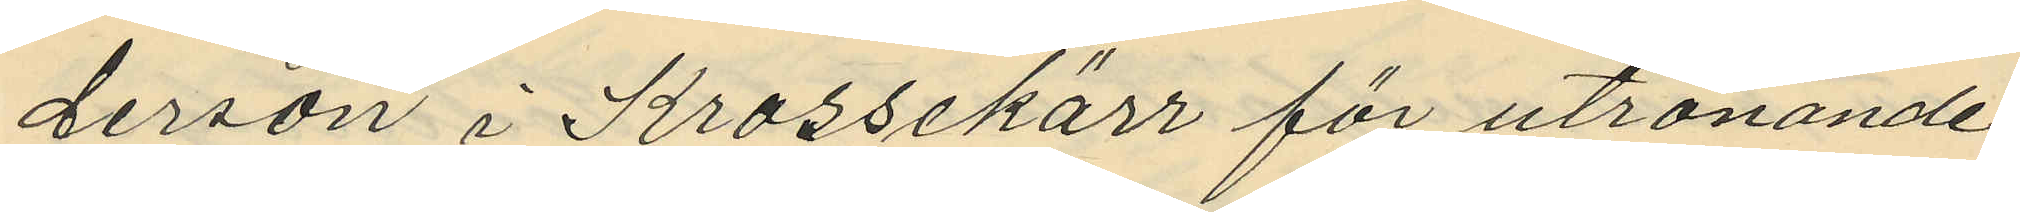derson i Krossekärr för utrönande
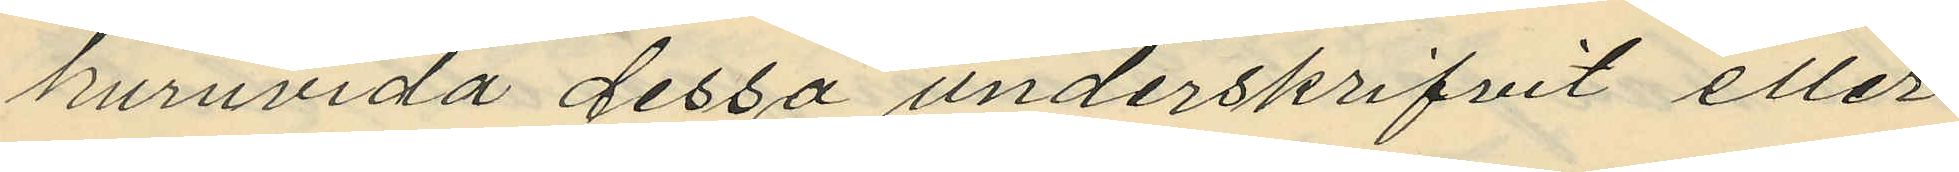huruvida dessa underskrifvit eller
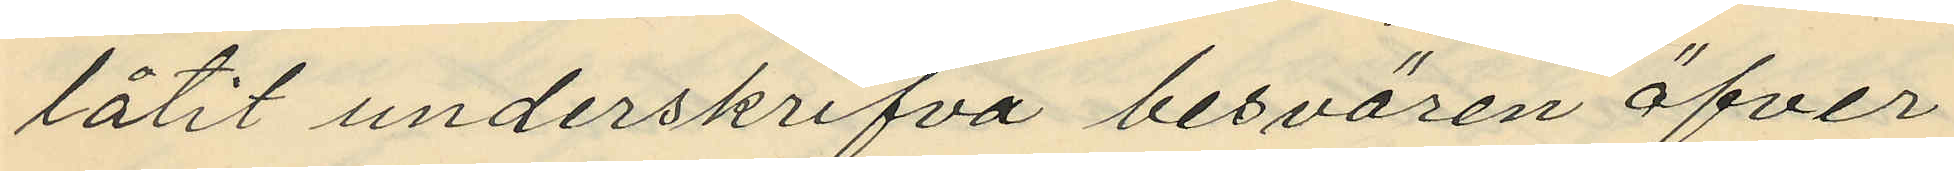låtit underskrifva besvären öfver¬
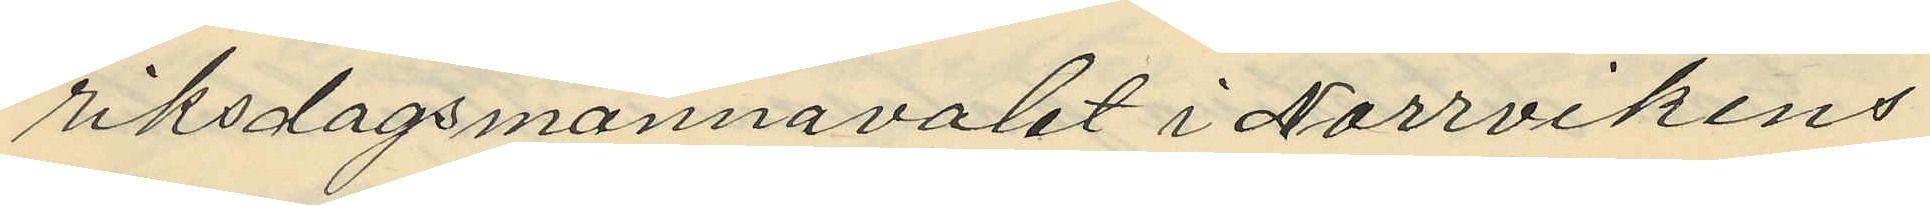riksdagsmannavalet i Norrvikens
